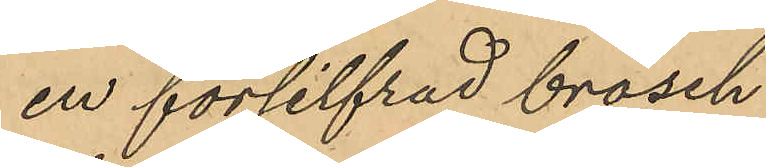en försilfrad brosch
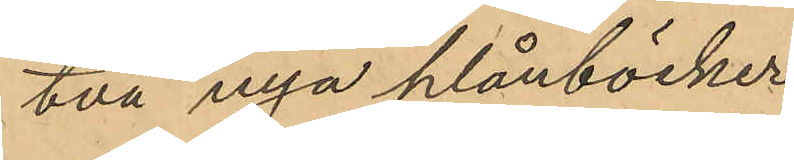två nya plånböcker
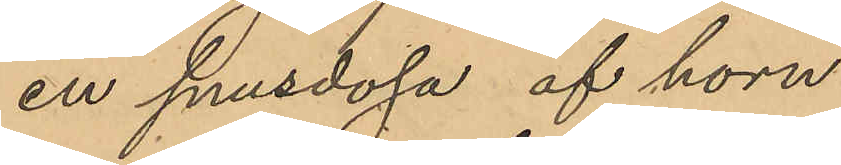en snusdosa af horn
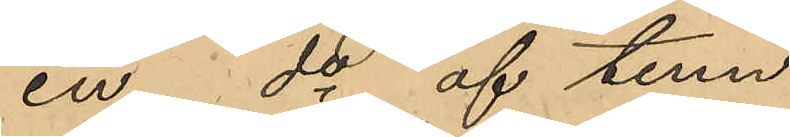en do af tenn
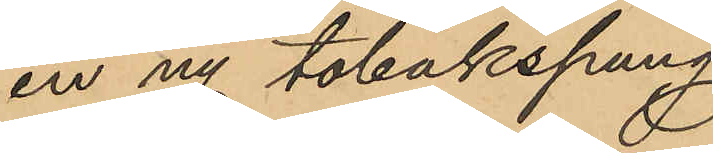en ny tobakspung
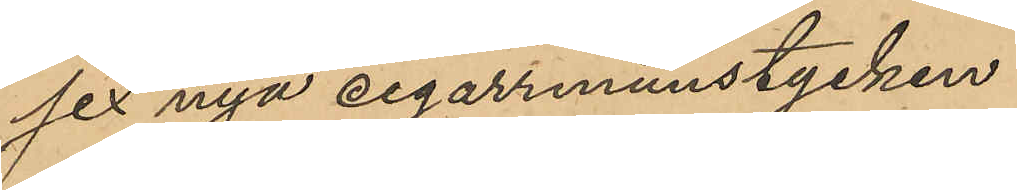sex nya cigarrmunstycken
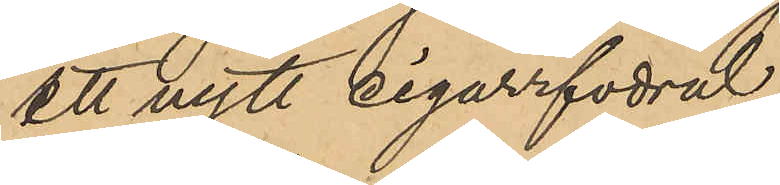ett nytt cigarrfodral
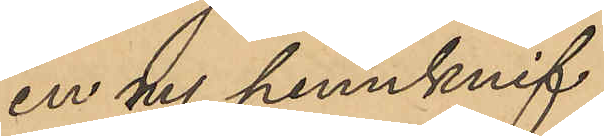en ny pennknif
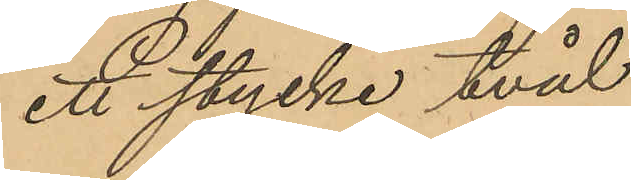ett stycke tvål
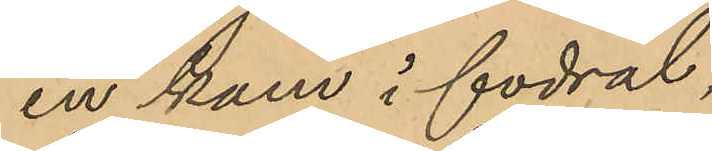en kam i fodral,
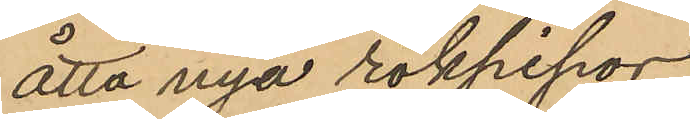åtta nya rökpipor
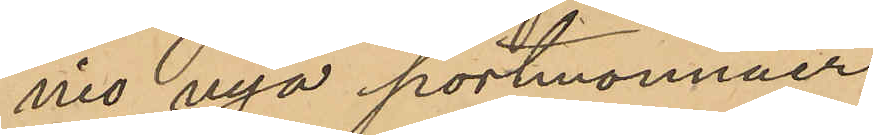nio nya portmonnäer
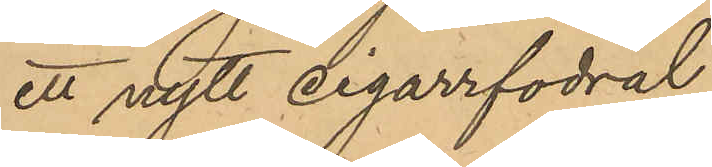ett nytt cigarrfodral
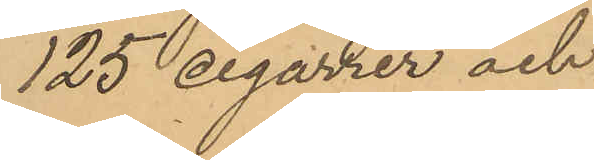125 cigarrer och
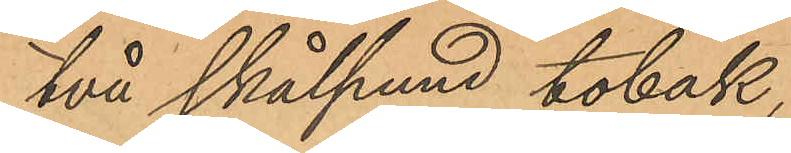två skålpund tobak,
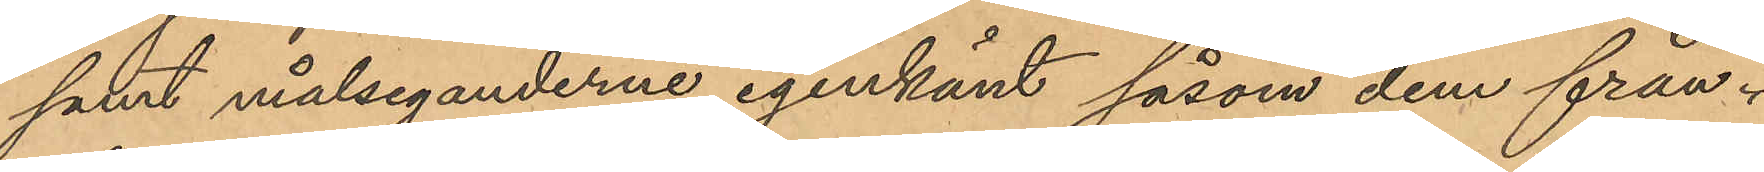samt målseganderne igenkänt såsom dem från¬
